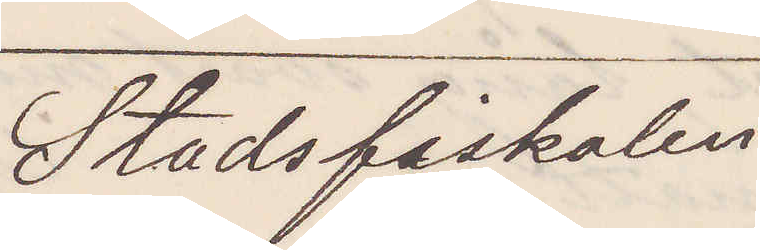Stadsfiskalen
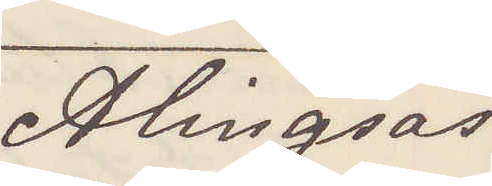Alingsås
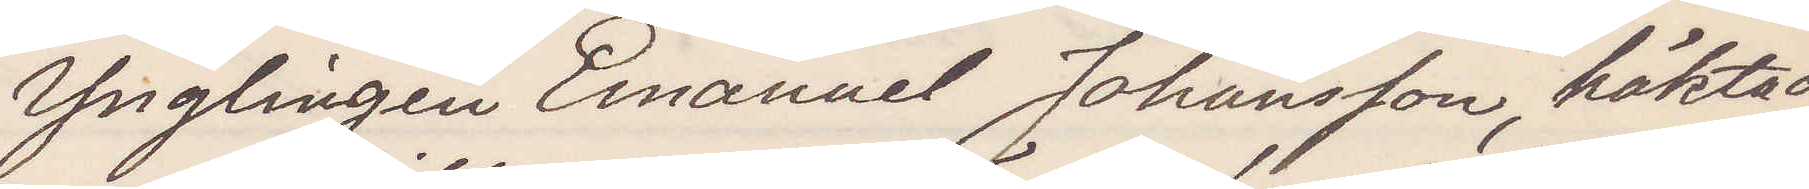Ynglingen Emanuel Johansson, häktad
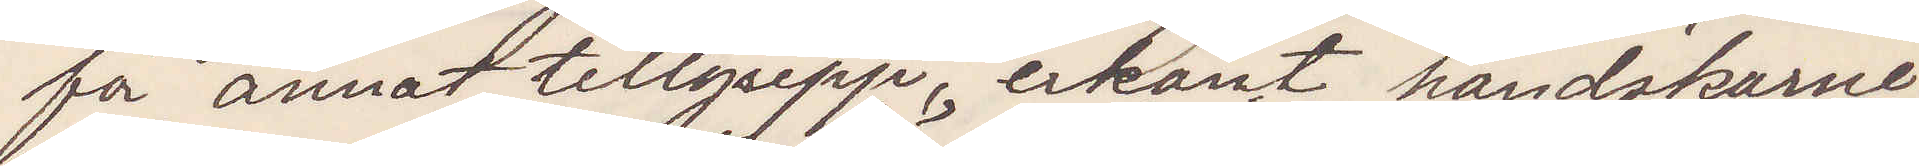för annat tillgrepp, erkänt handskarne
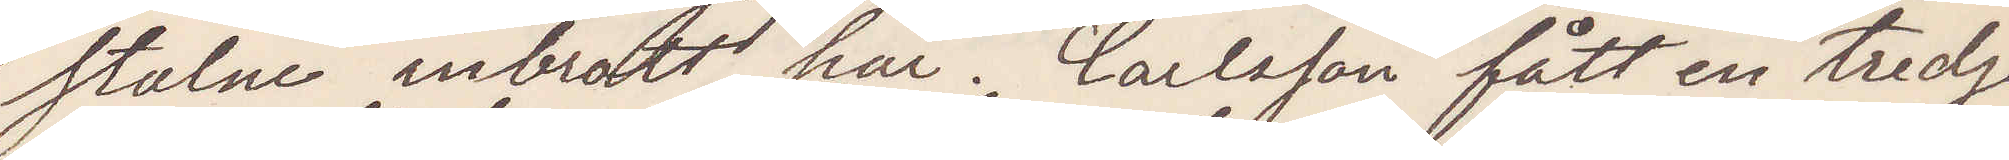stulne inbrott här. Carlsson fått en tredje¬
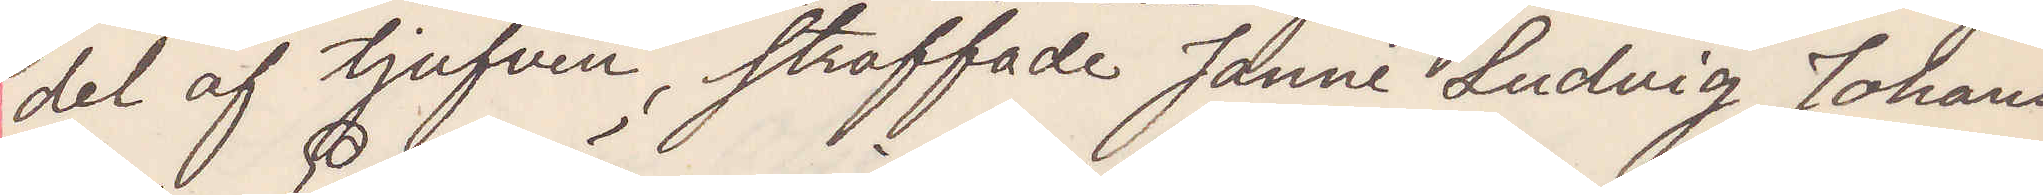del af tjufven, straffade Janne Ludvig Johans¬
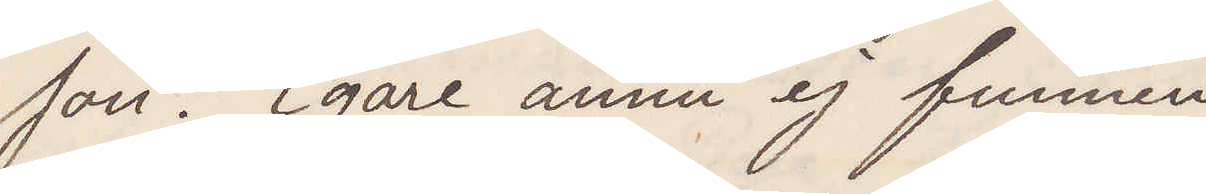son. Egare ännu ej funnen
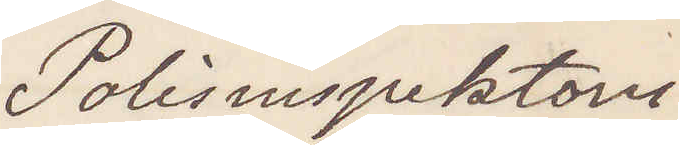Polisinspektorn
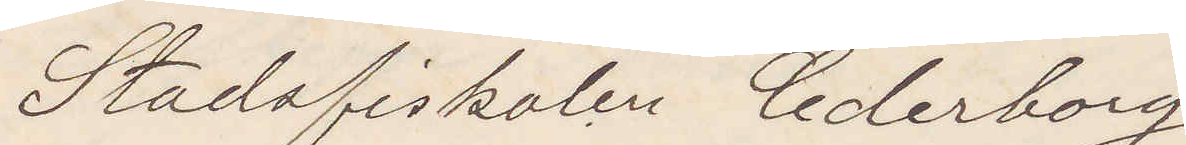Stadsfiskalen Cederborg
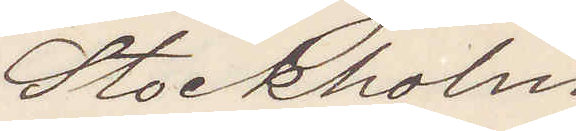Stockholm
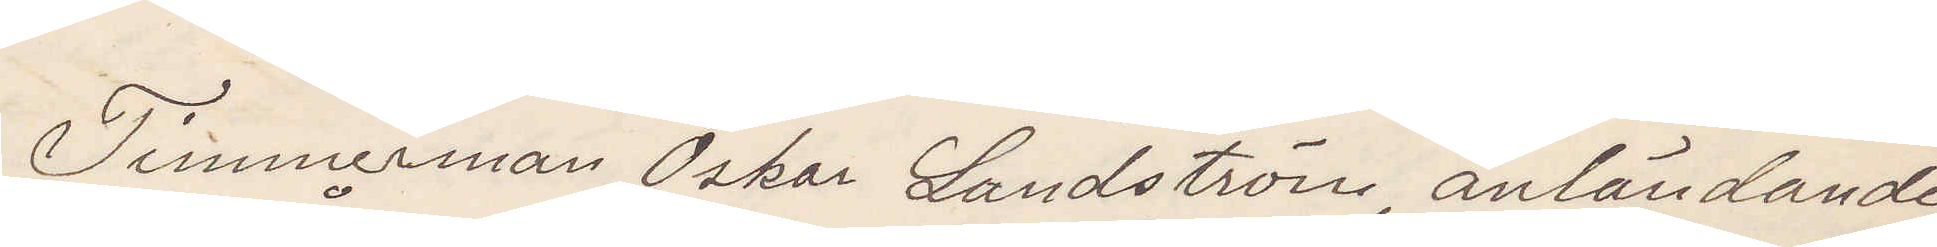Timmerman Oskar Landström anländande
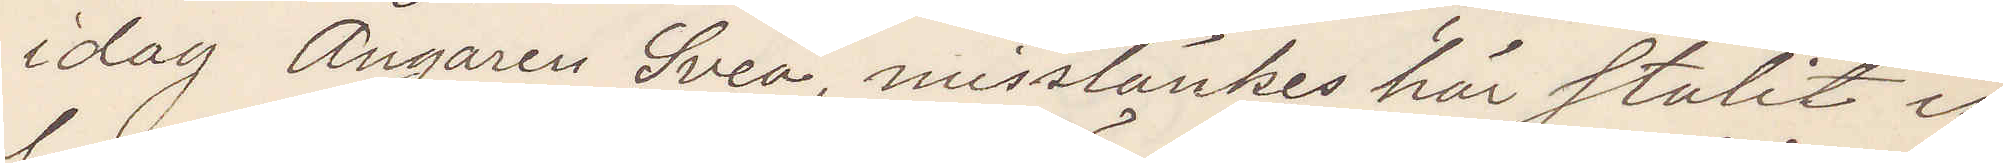idag Ångaren Svea, misstänkes här stulit is¬
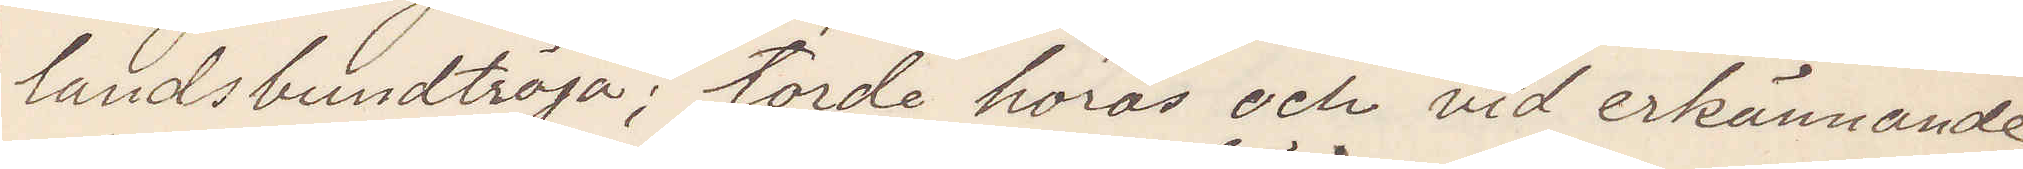landsbundttröja; torde höras och vid erkännande
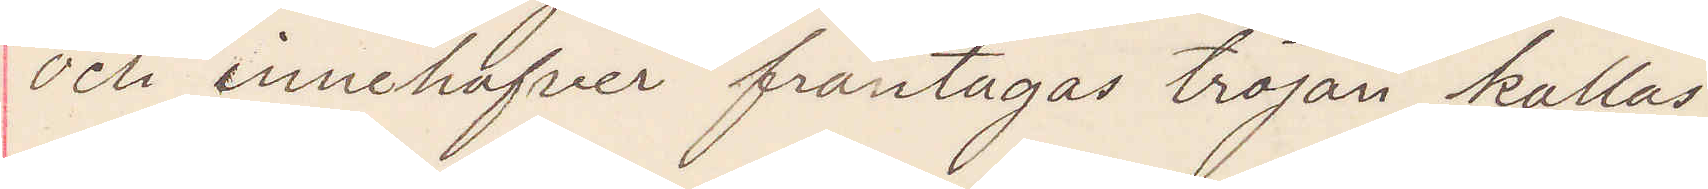och innehafver fråntagas tröjan kallas.
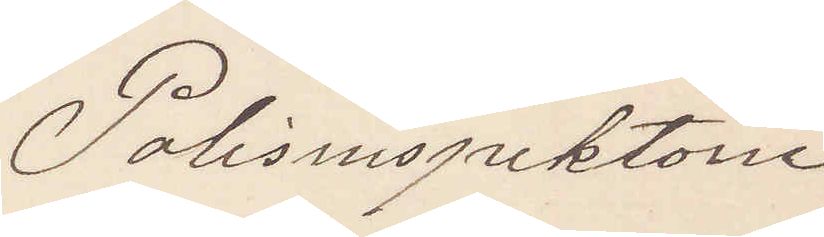Polisinspektorn
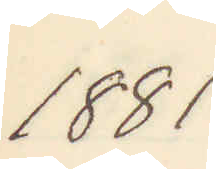1881
